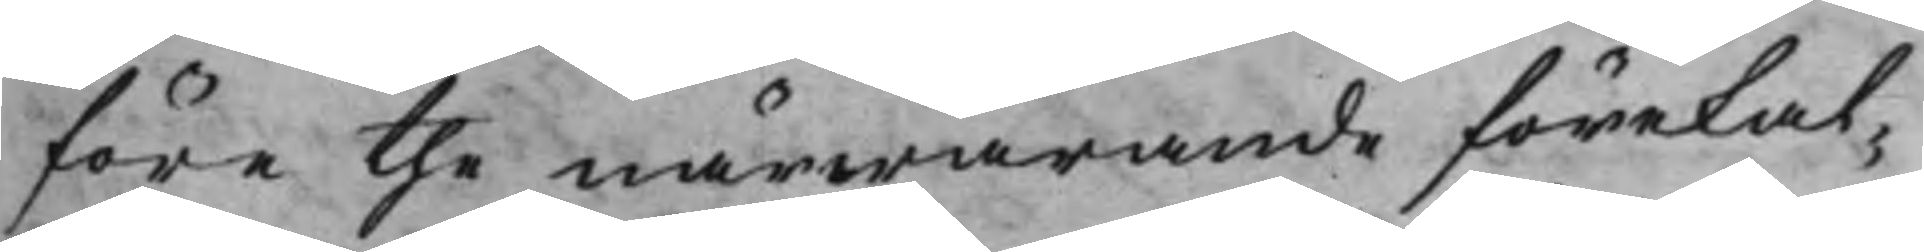före the närwarande förekal¬
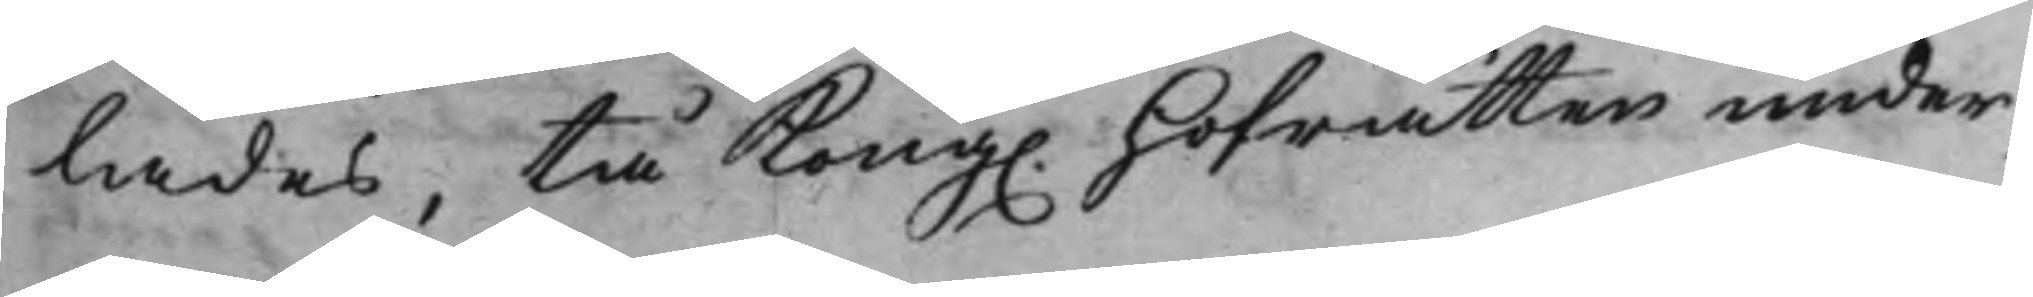lades, tå Kong. Hofrätten under¬
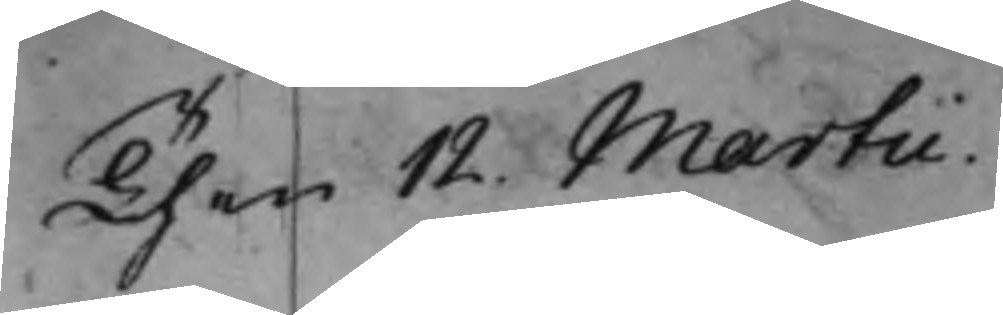Then 12. Martii.
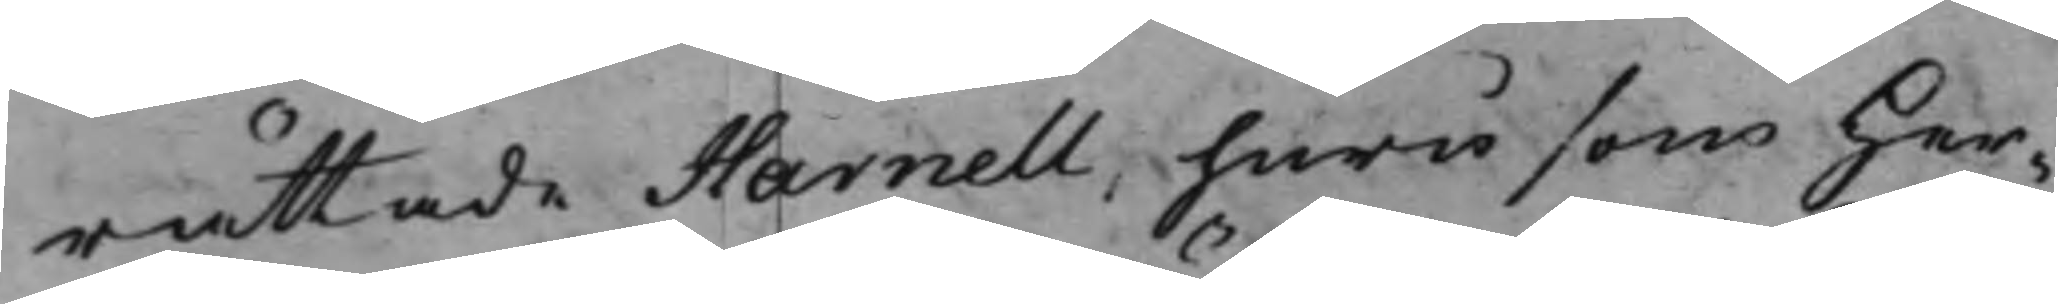rättade Harnell, huru som Her¬
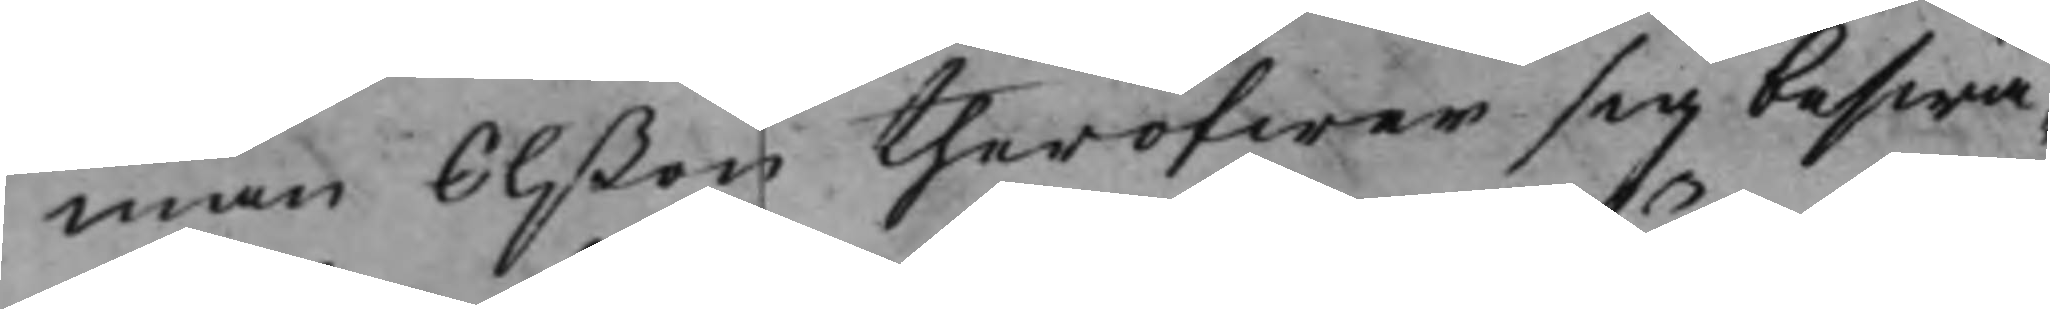man Olßon theröfwer sig beswä¬
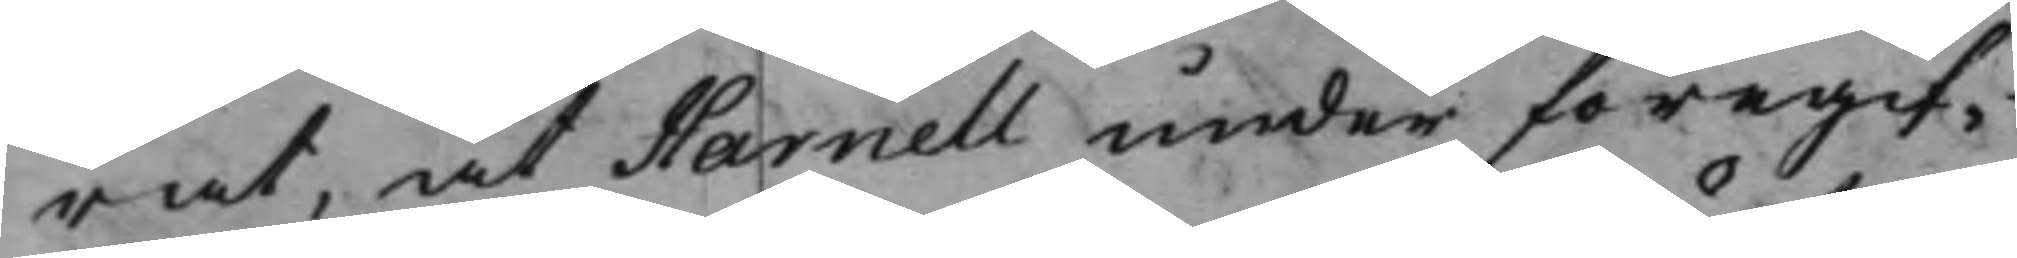rat, at Harnell under föregif¬
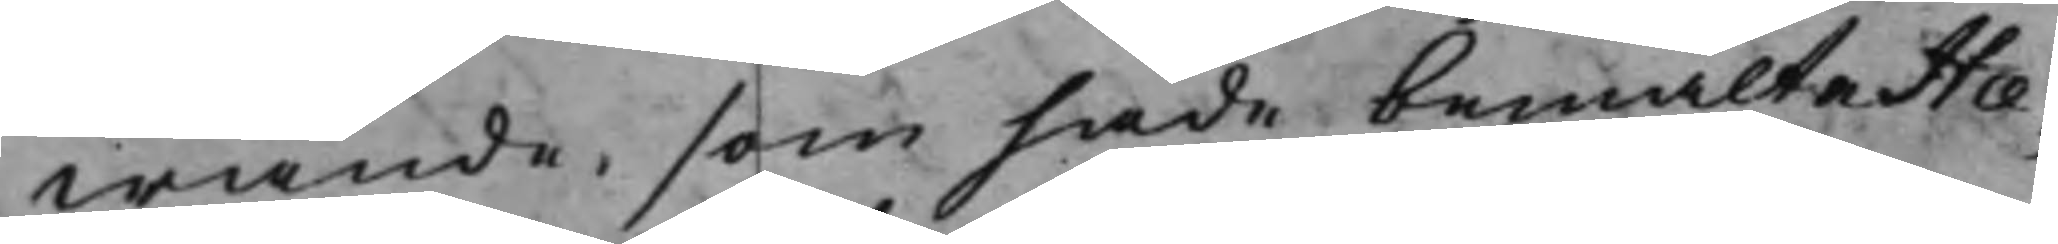wande, som hade bemälte Hæ¬
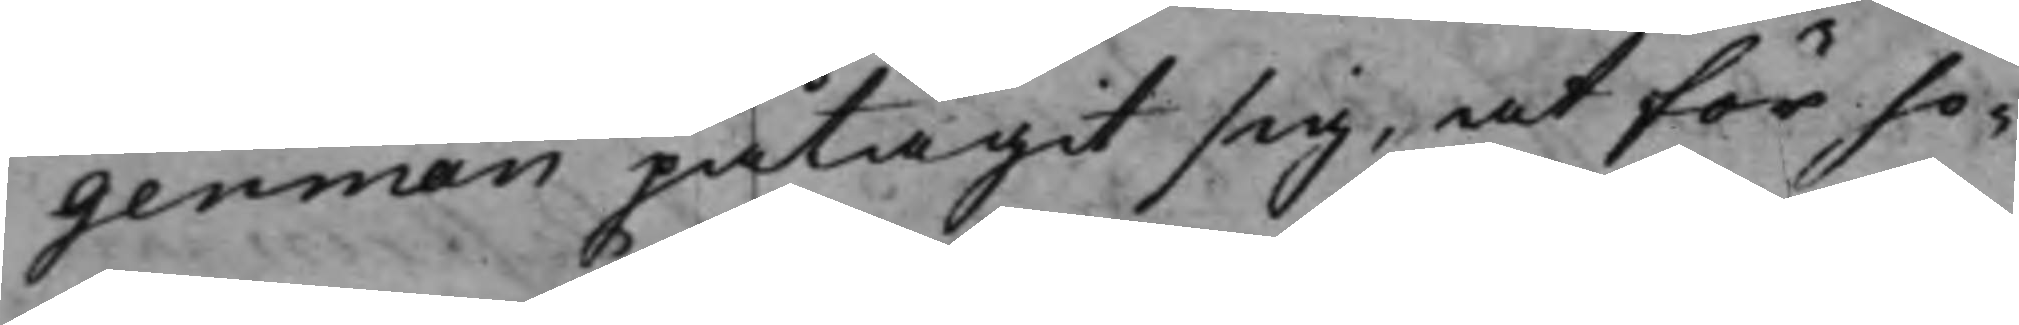german påtagit sig, at för ho¬
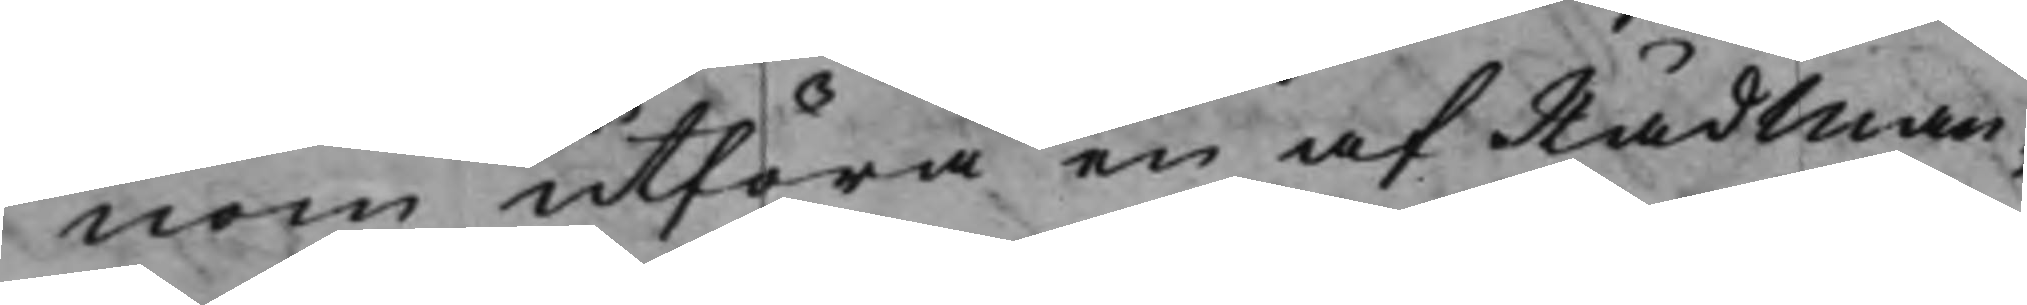nom utföra en af Rådman¬
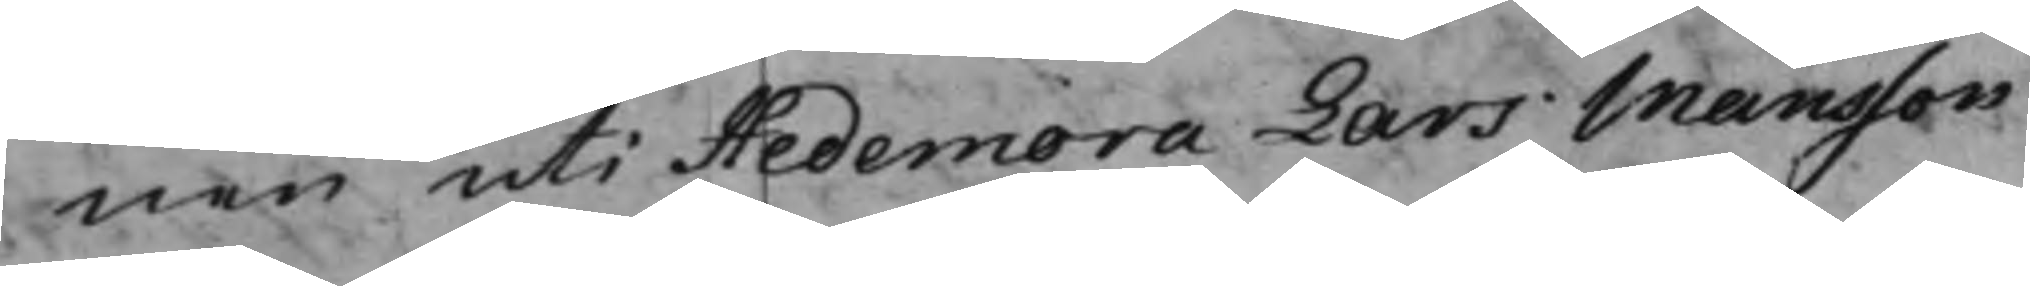nen uti Hedemora Lars Månsson
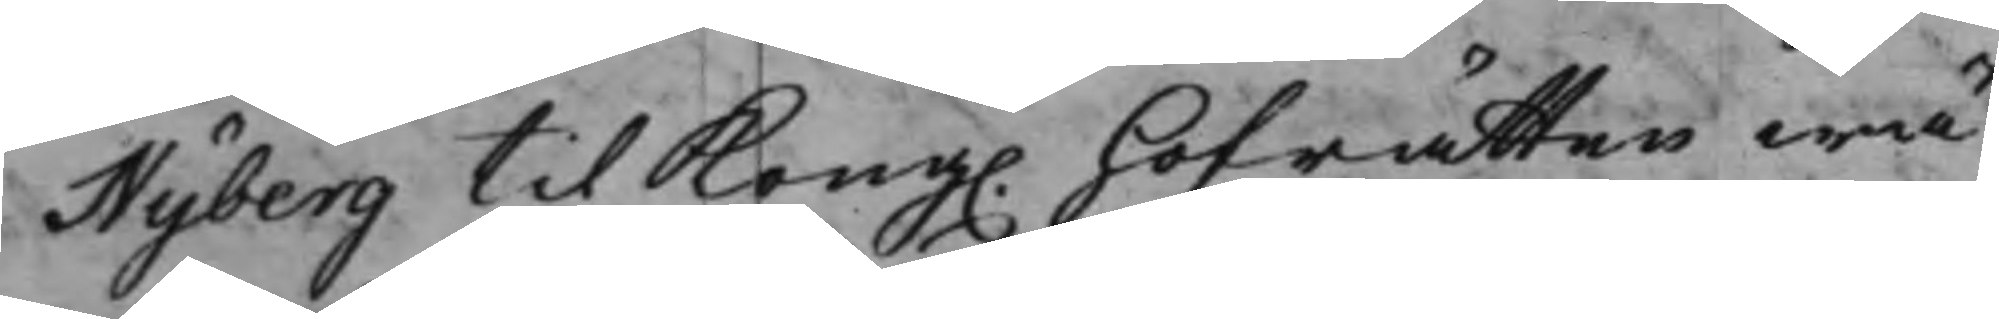Nyberg til Kong. Hofrätten wä¬
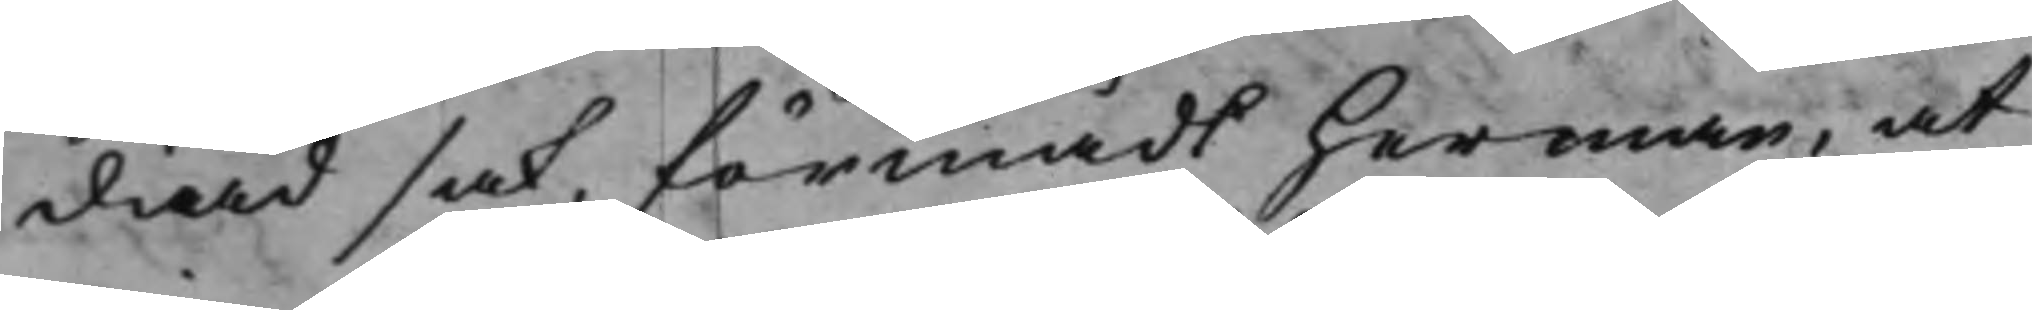diad sak, förmådt Herman, at
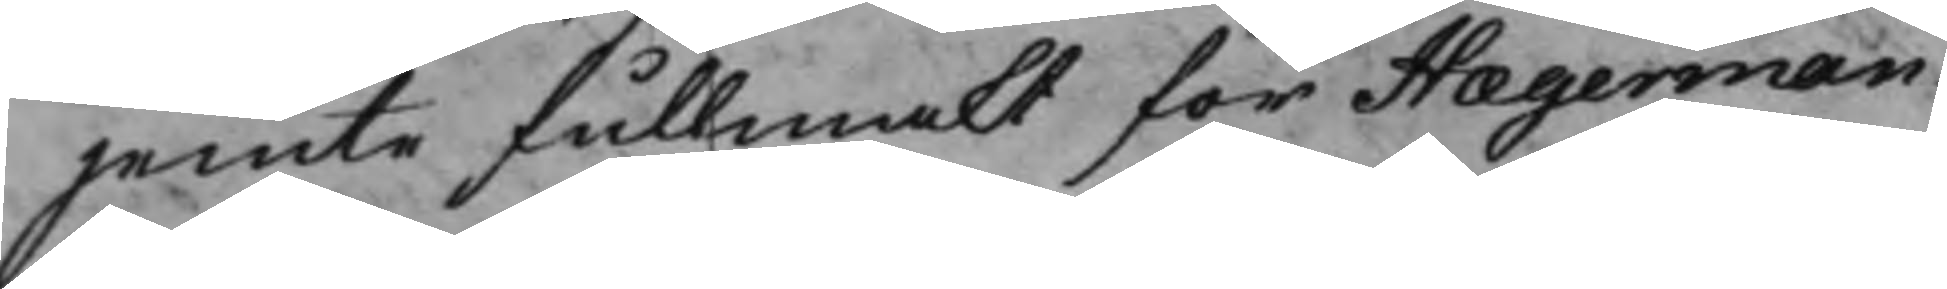jemte Fullmakt för Hægerman
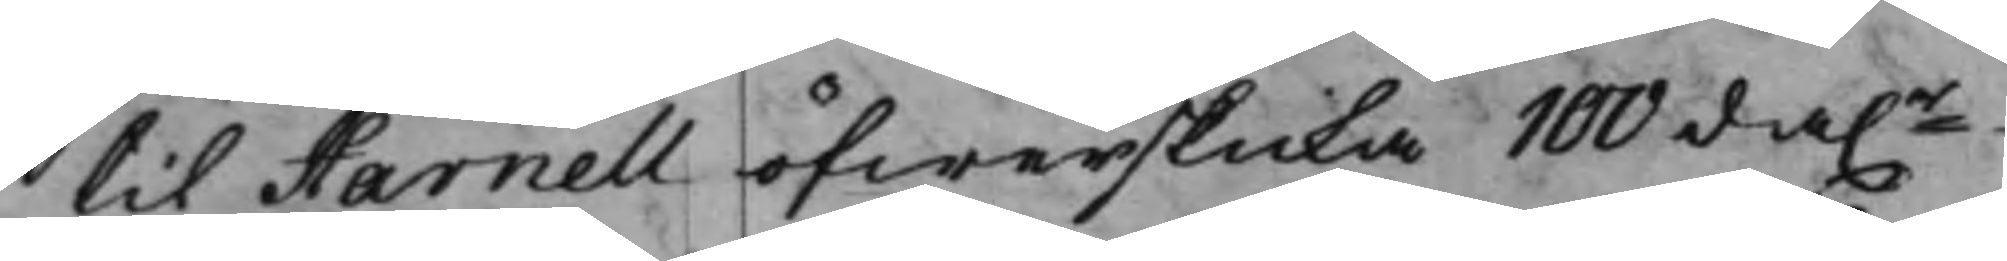til Harnell öfwerskicka 100 da.r
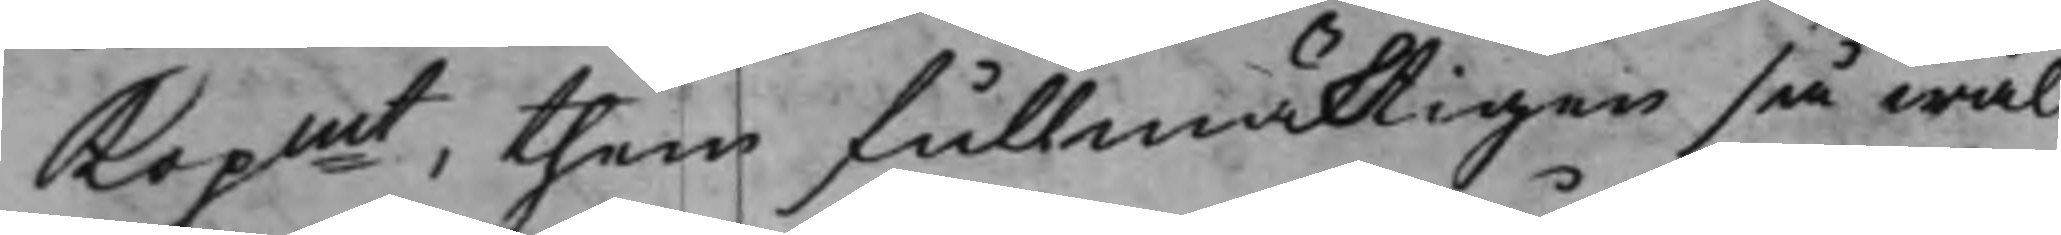Kopmt, them fullmäktigen så wäl
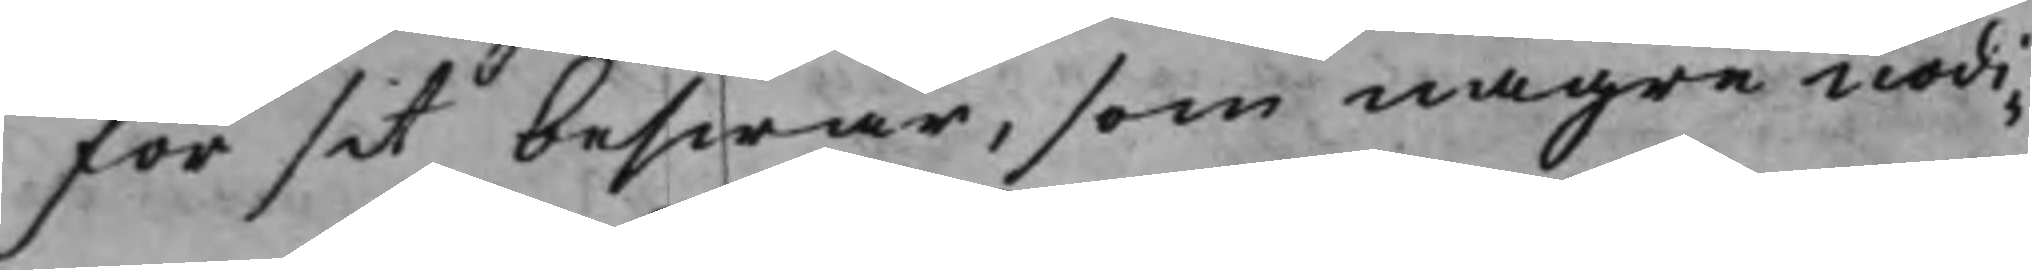för sit beswär, som någre nödi¬
